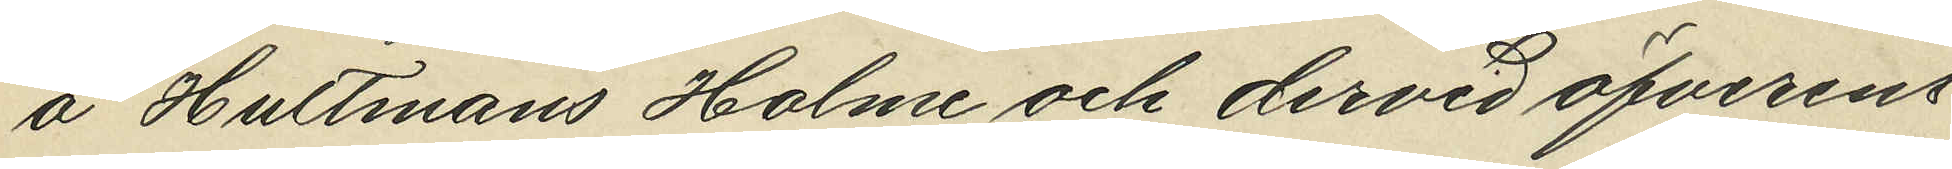å Hultmans Holme och därvid öfverens¬
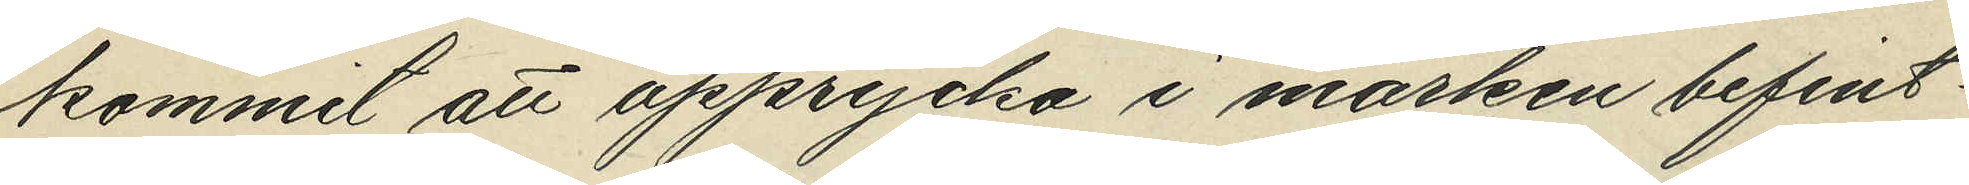kommit att upprycka i marken befint¬
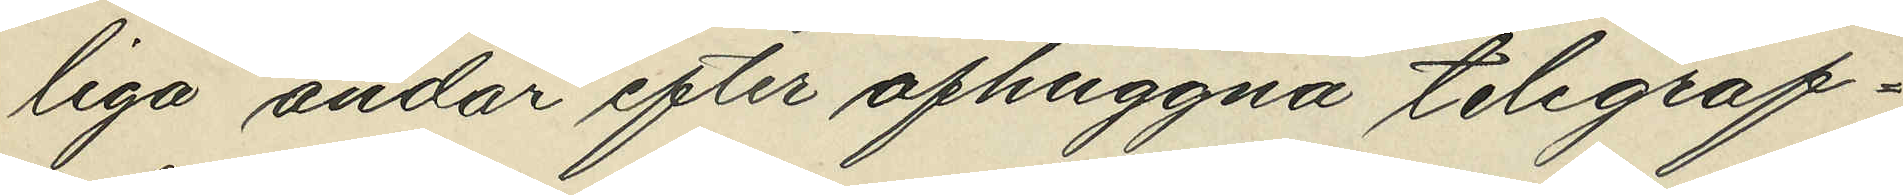liga ändar efter afhuggna telegraf¬
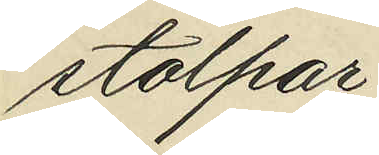stolpar;
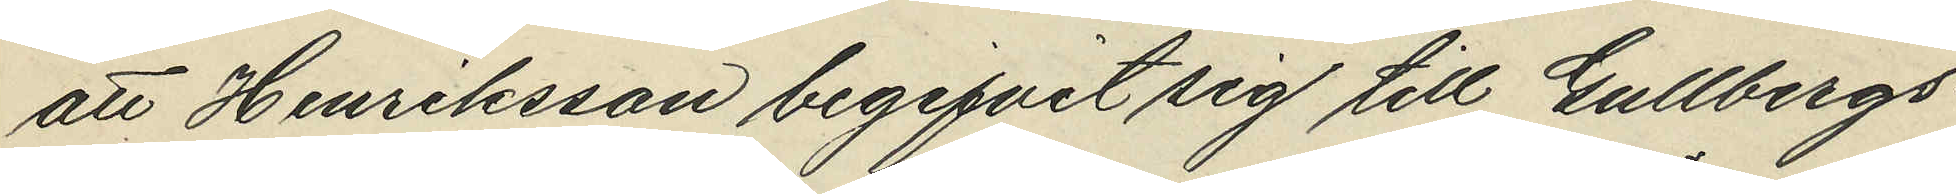att Henriksson begifvit sig till Gullsbergs¬
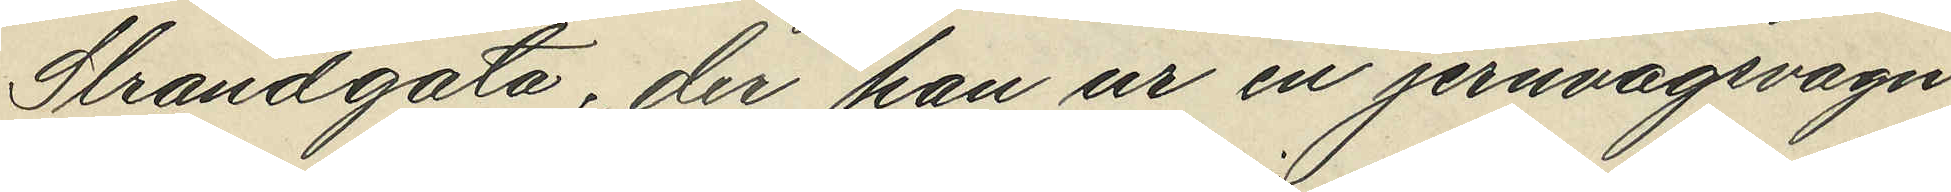Strandgata, der han ur en jernvägsvagn
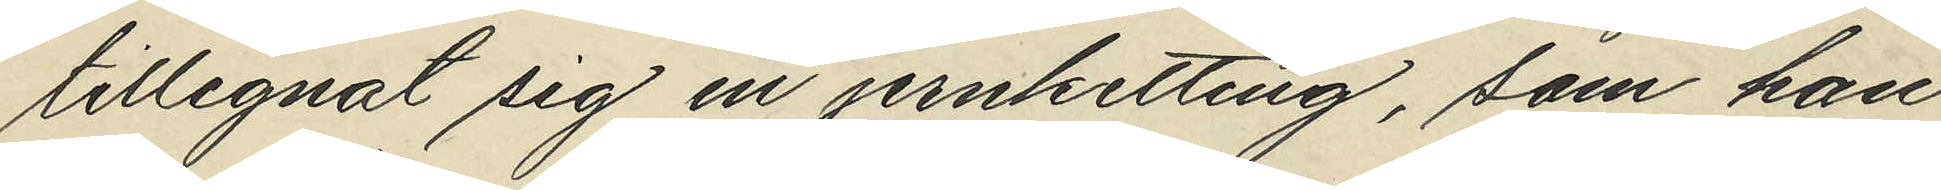tillegnat sig en jernketting, som han
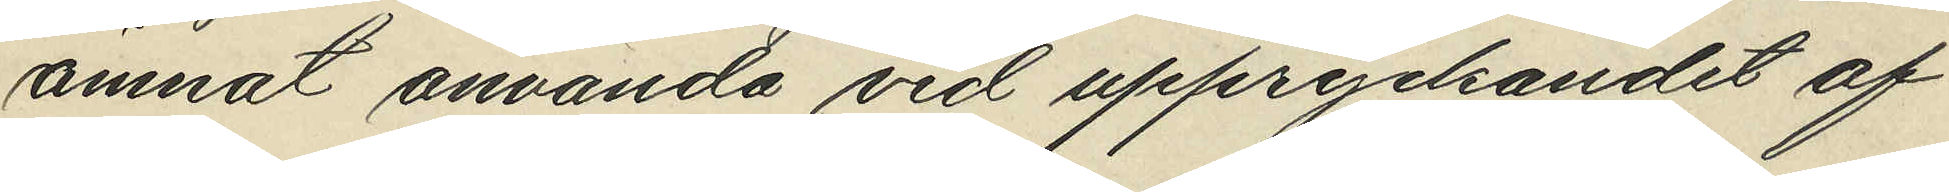ämnat använda vid uppryckandet af
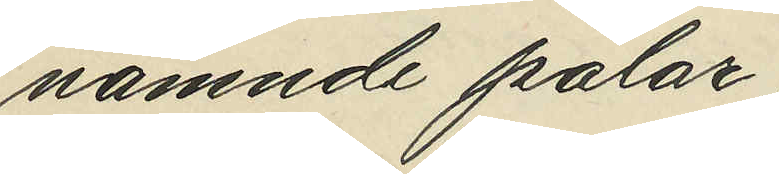nämnde pålar;
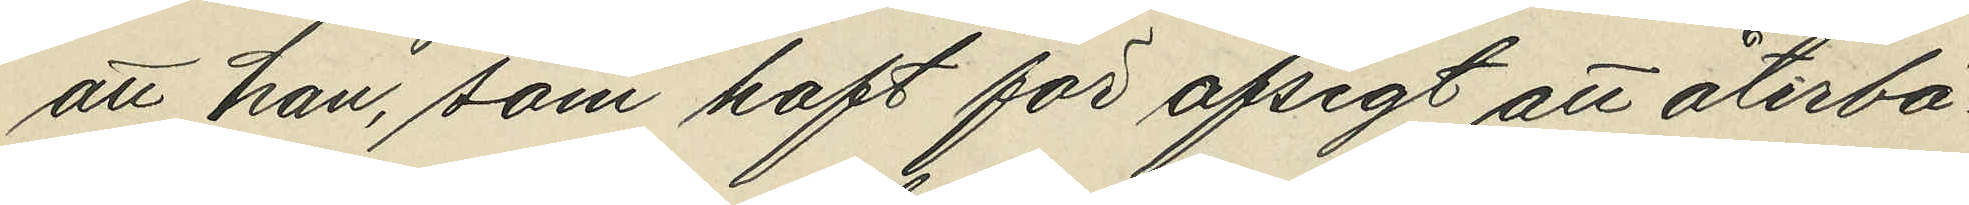att han, som haft för afsigt att återbä¬
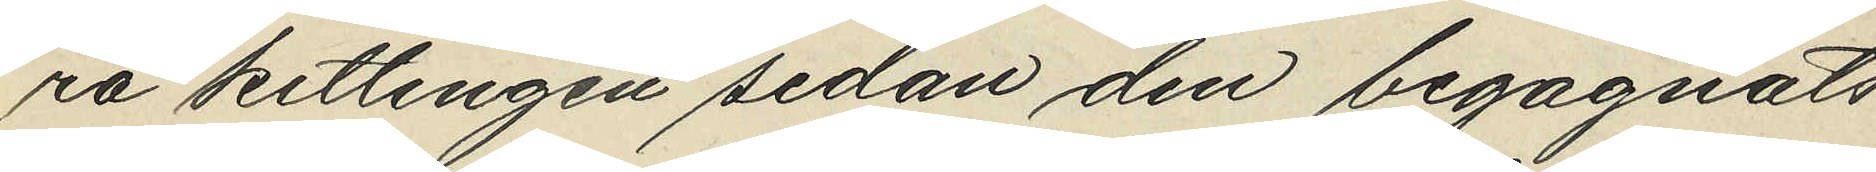ra kettingen sedan den begagnats
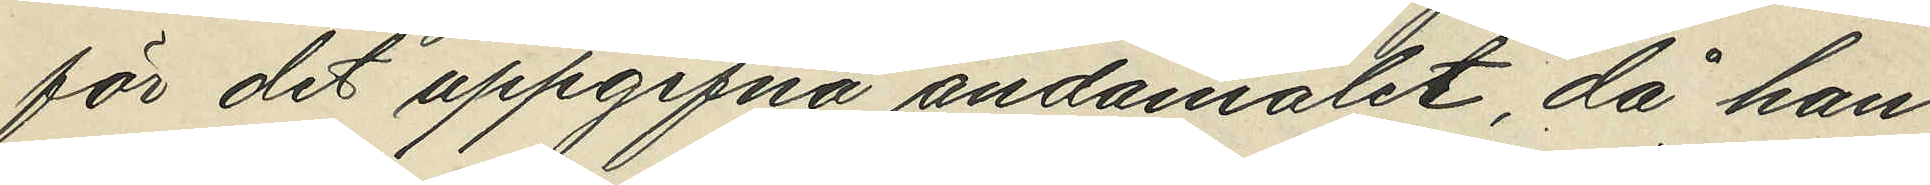för det uppgifna ändamålet, då han
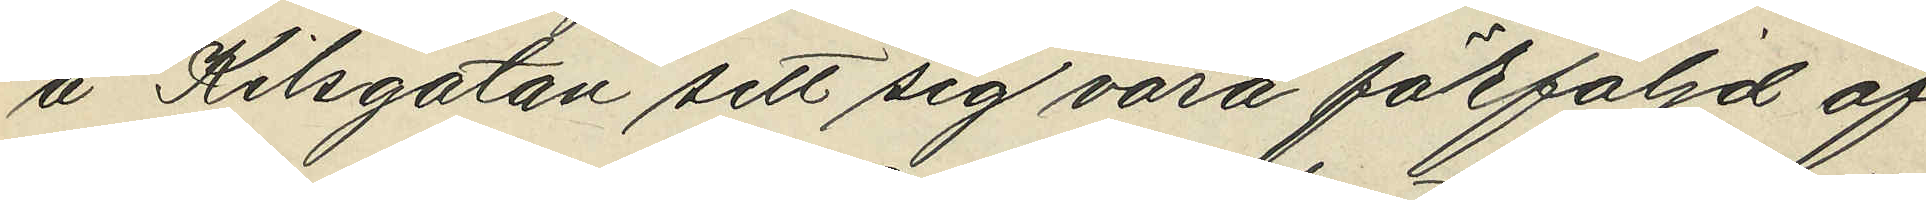å Kilsgatan sett sig vara förföljd af
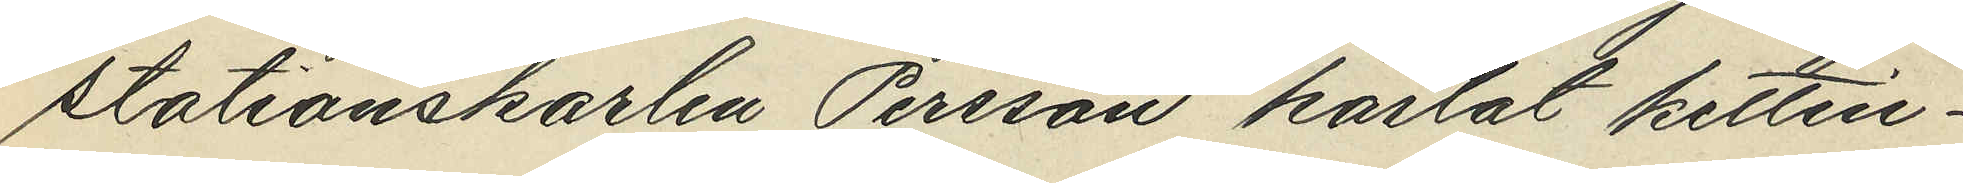stationskarlen Persson kastat kettin¬
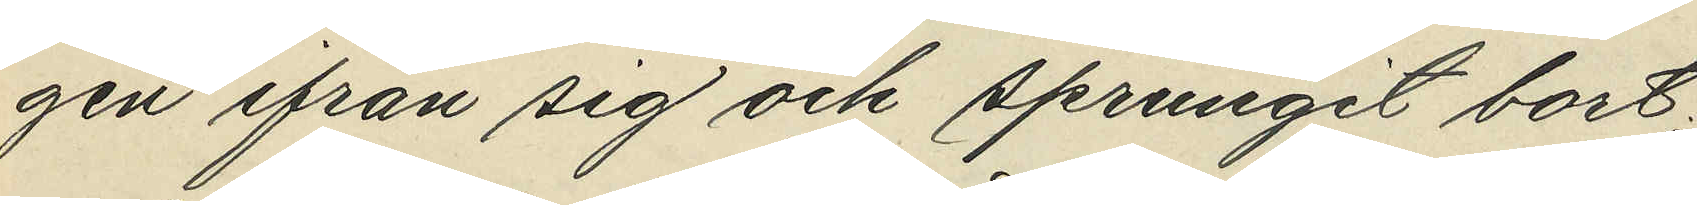gen ifrån sig och sprungit bort;
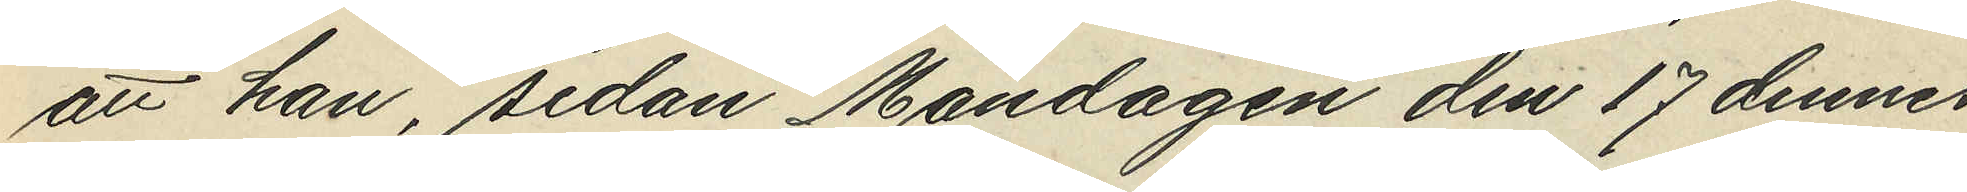att han, sedan Måndagen den 17 dennes
